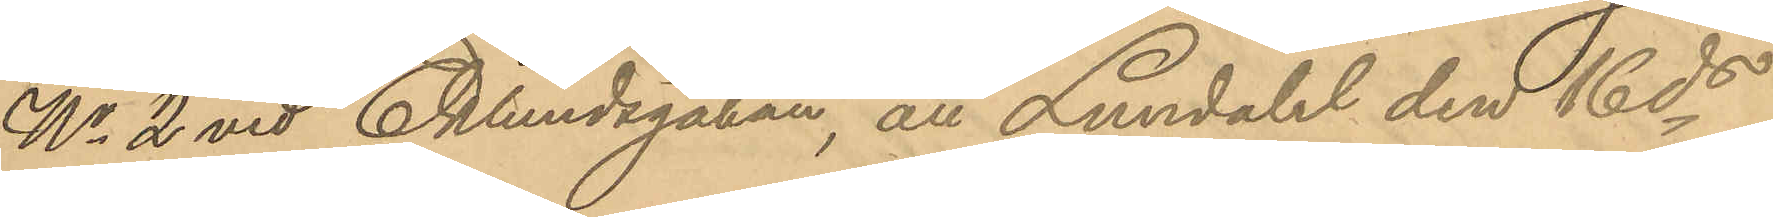No 2 vid Eklundsgatan, att Lundahl den 16 ds
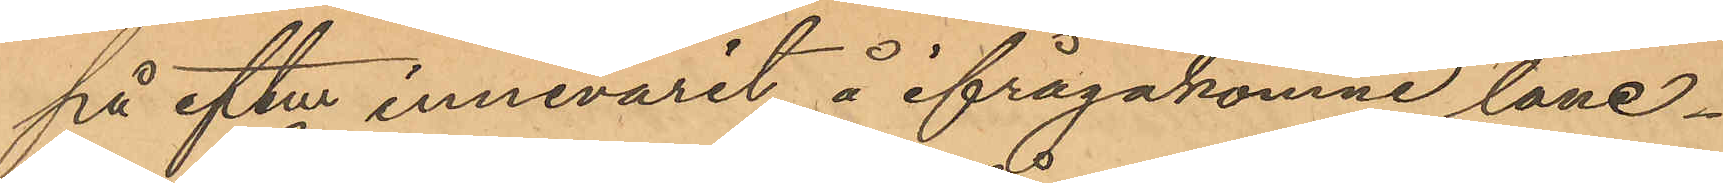på eftm innevarit å ifrågakomne låne¬
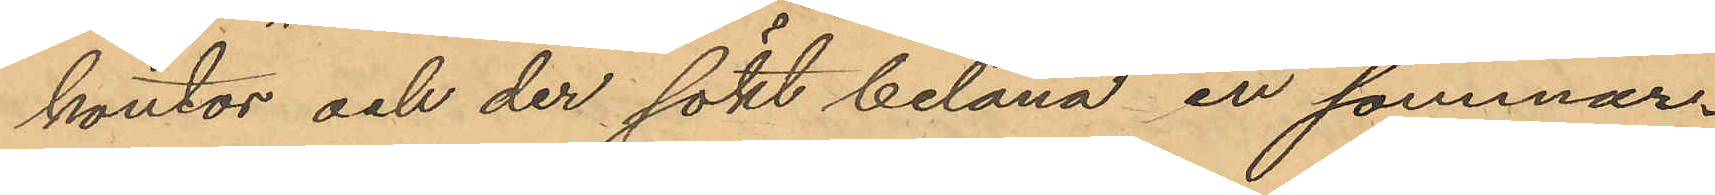kontor och der sökt belåna en sommar¬
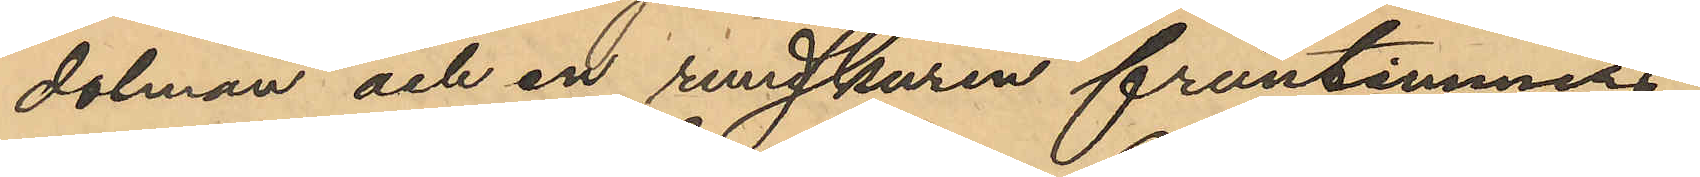dolman och en rundskuren fruntimmers¬
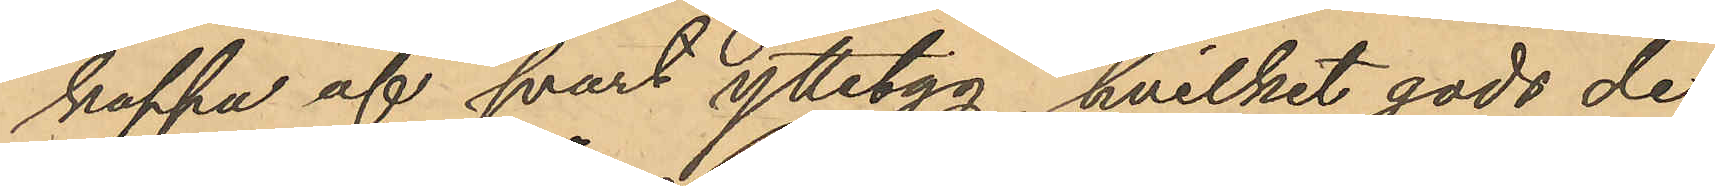kappa af svart ylletyg, hvilket gods de
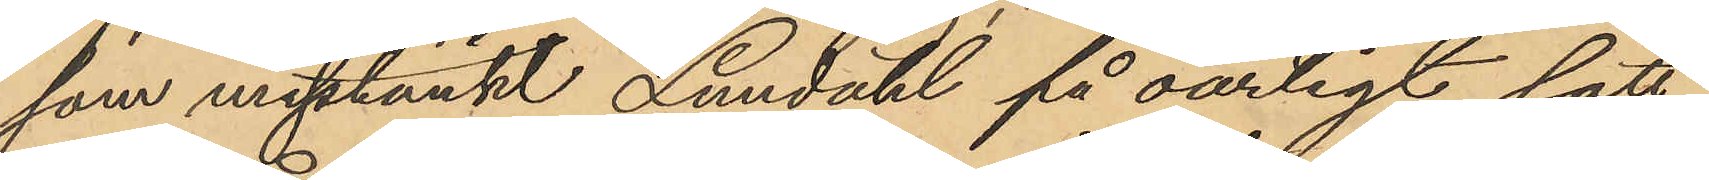som misstänkt Lundahl på oärligt sätt
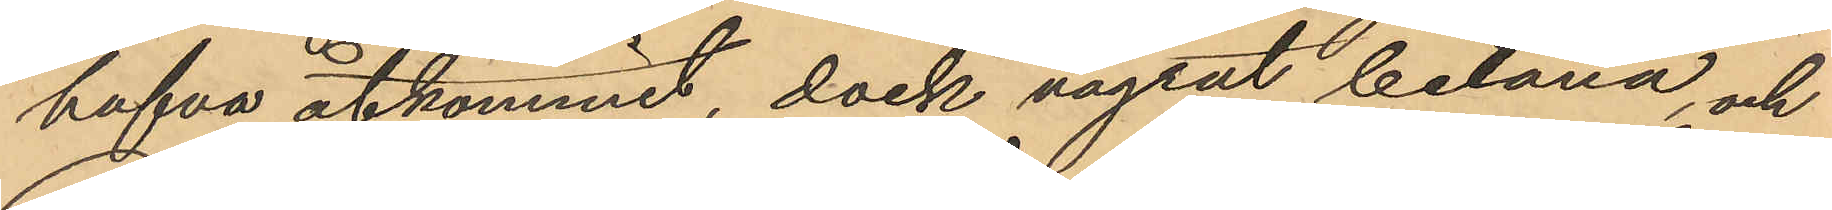hafva åtkommit, dock vägrat belåna, och
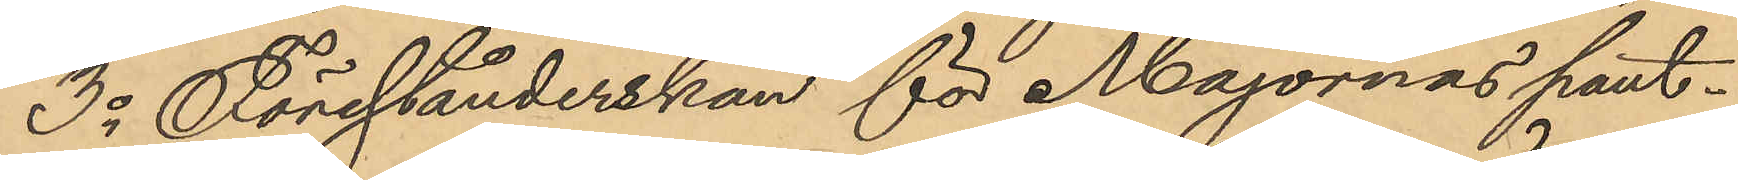3o Förestånderskan för Majornas pant¬
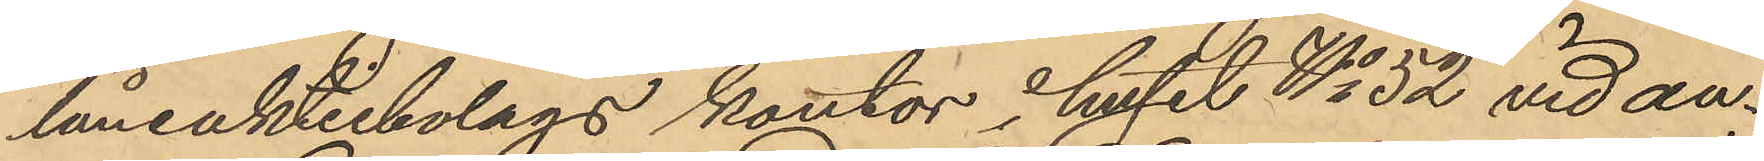låneaktiebolags kontor huset No 52 vid an¬
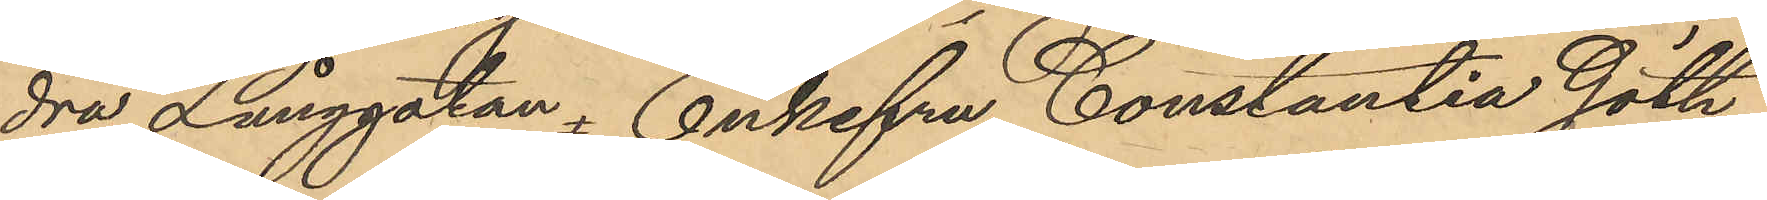dra Långgatan  Enkefru Constantia Göth-
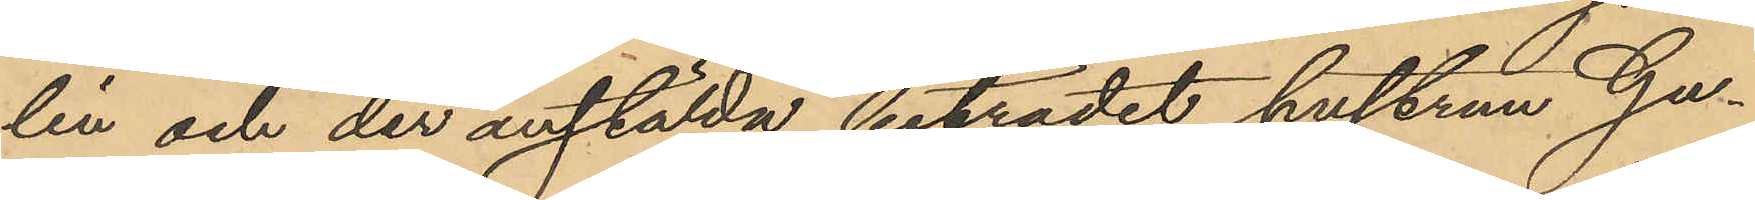lin och der anstälda biträdet hustrun Gu¬
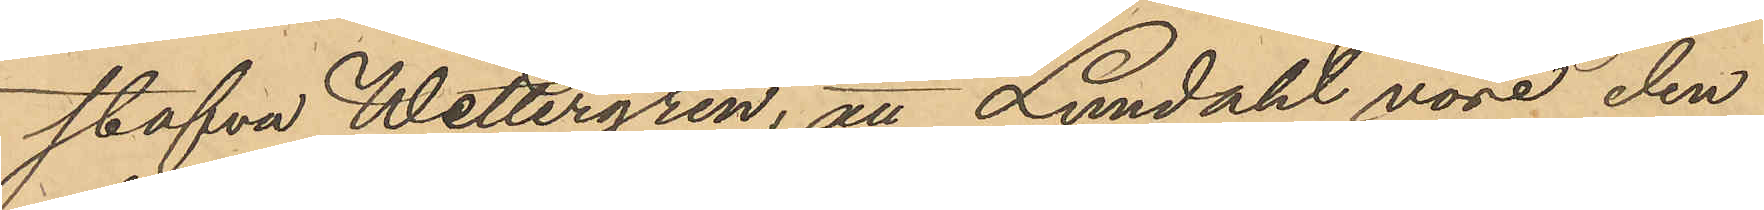stafva Wettergren; att Lundahl vore den
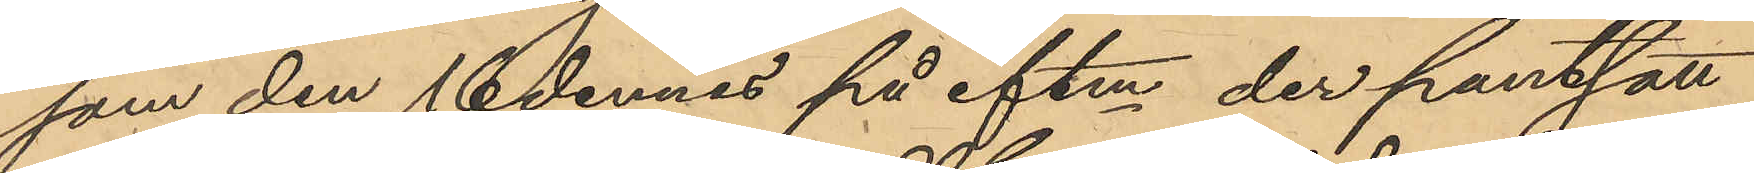som den 16 dennes på eftm der pantsatt
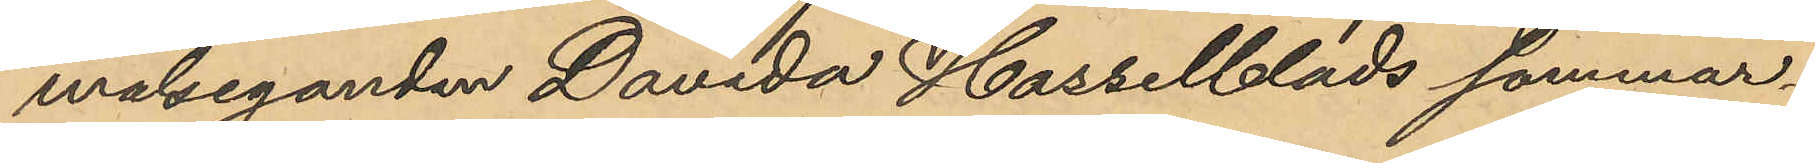målseganden Davida Hasselblads sommar¬
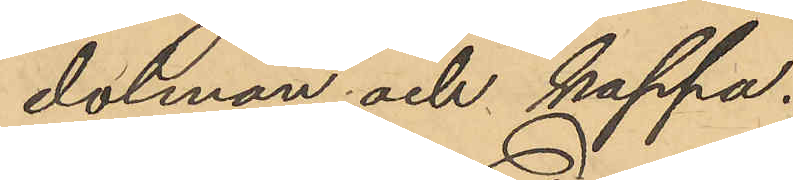dolman och kappa.
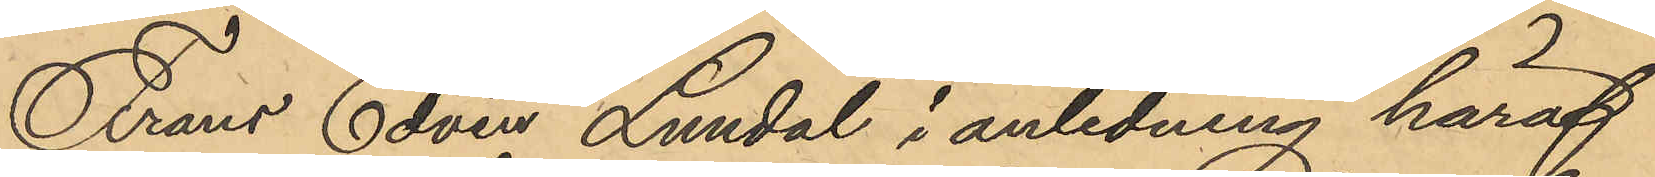Frans Edvin Lundal i anledning häraf
